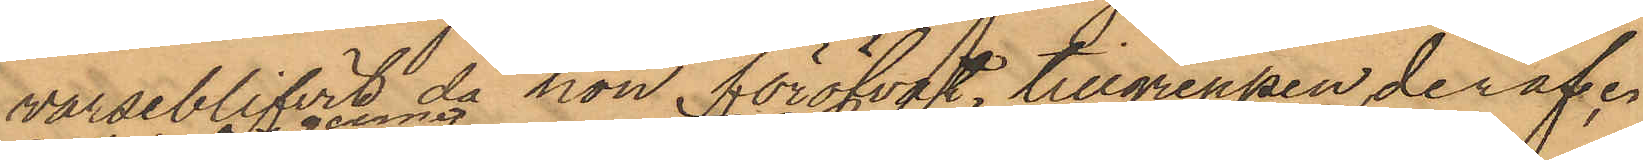varseblifvit då hon föröfvat tillgreppen derifrån, 
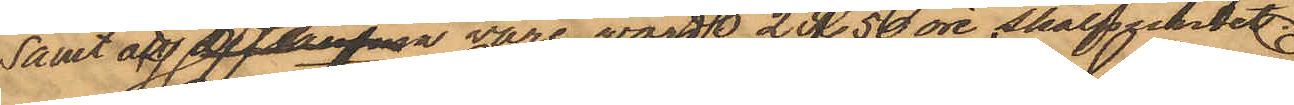samt att garnet vore värt 2 rdr. 50 öre skålpundet.
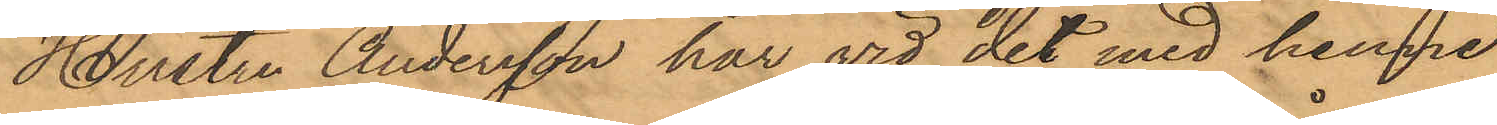Hustru Andersson har vid det med henne
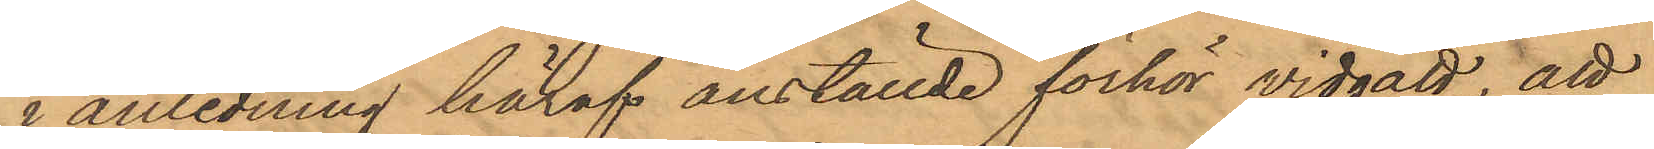i anledning häraf anställde förhör vidgått, att
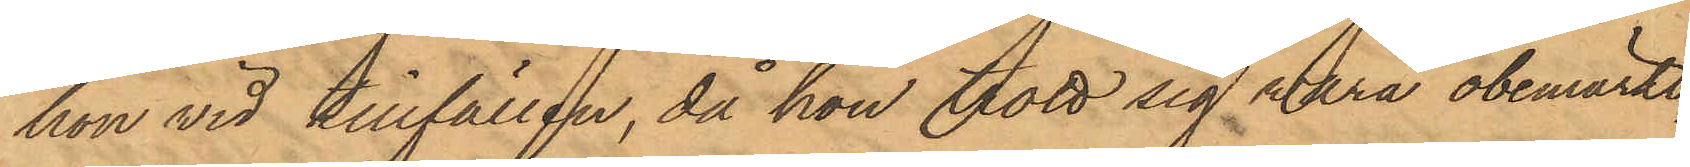hon vid tillfällen, då hon trott sig vara obemärkt,
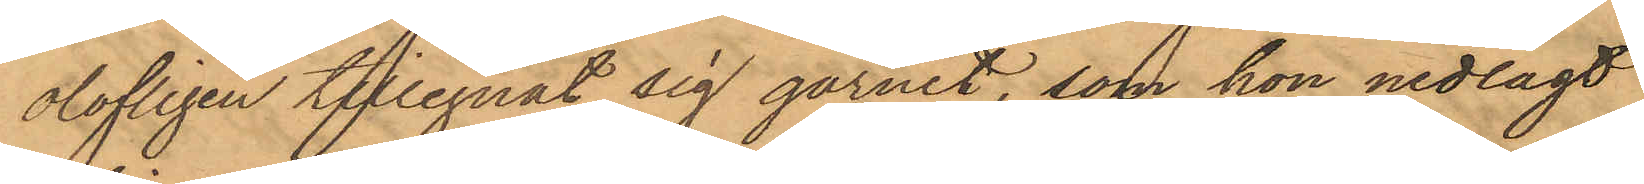olofligen tillegnat sig garnet, som hon nedlagt
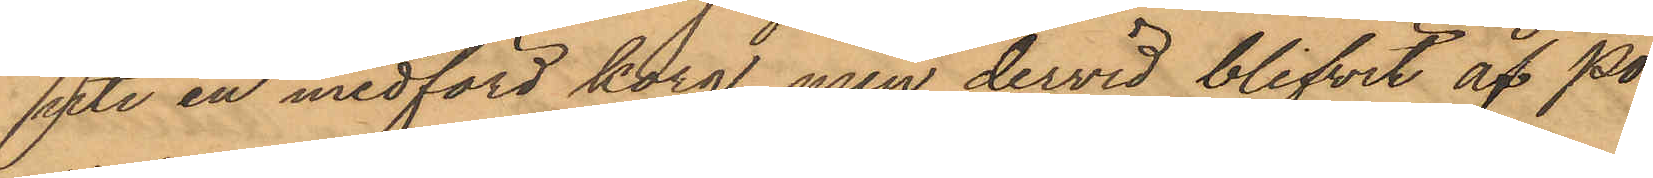uti en medförd korg, men dervid blifvit af Po¬
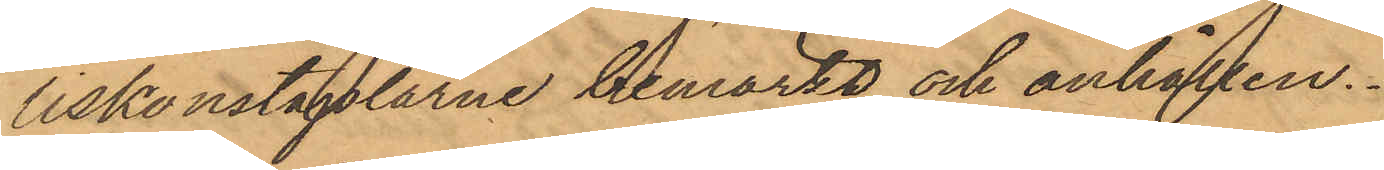liskonstaplarne bemärkt och anhållen.
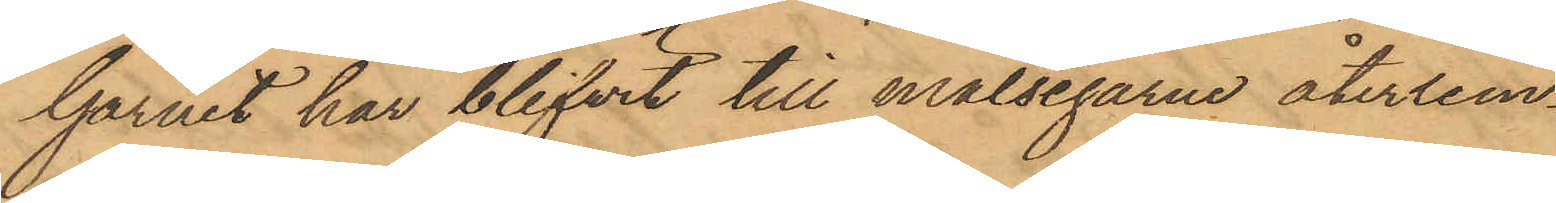Garnet har blifvit till målsegarne återlem¬
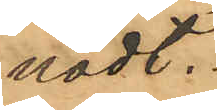nadt.
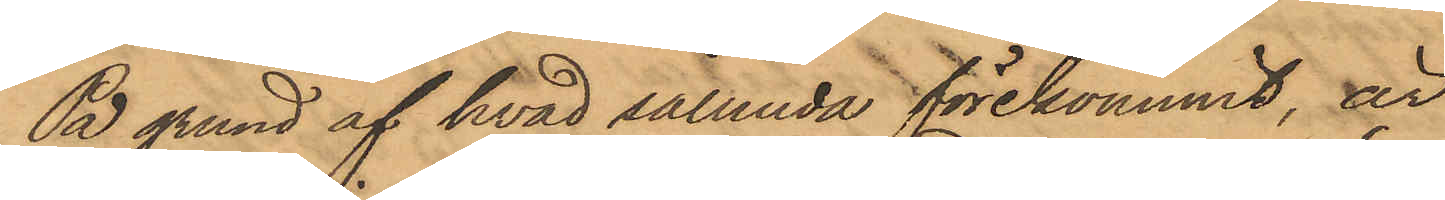På grund af hvad sålunda förekommit, är
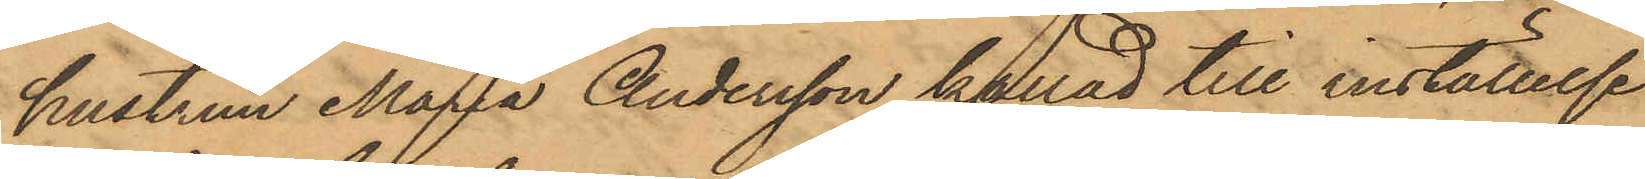hustrun Maria Andersson kallad till inställelse
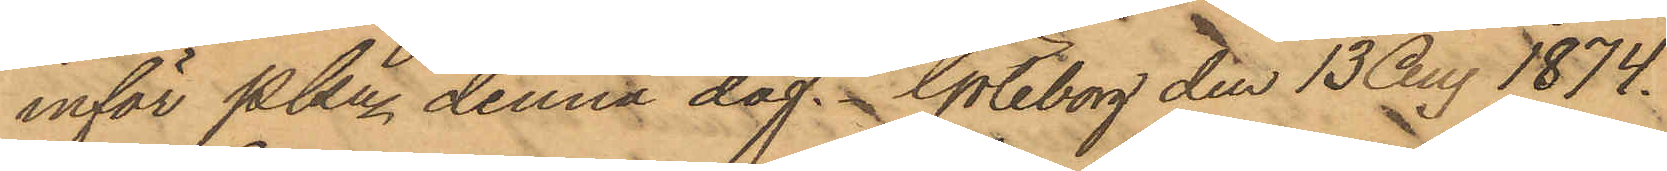inför Pkn denna dag. Göteborg den 13 Aug. 1874.
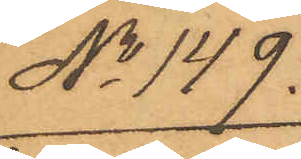No 149.
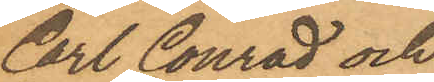Carl Conrad och
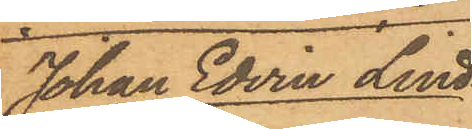Johan Edvin Lind¬
